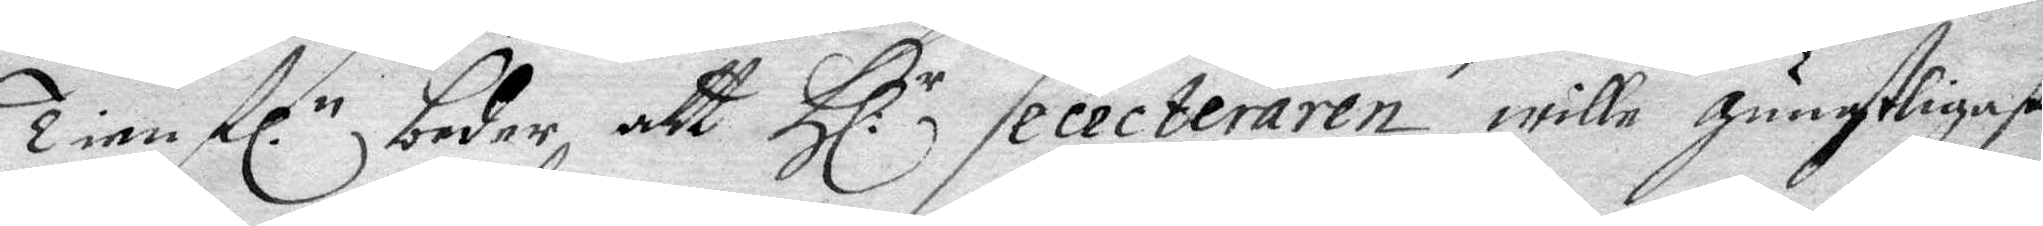Tien fl.n beder att Hl. r Sececteraren wille gunstligast
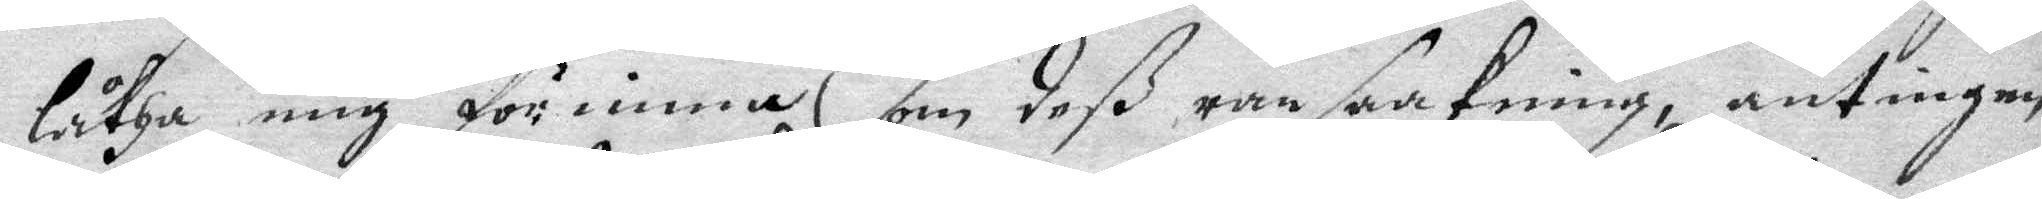låtha mig förnimma om deß ransaakning, antingen
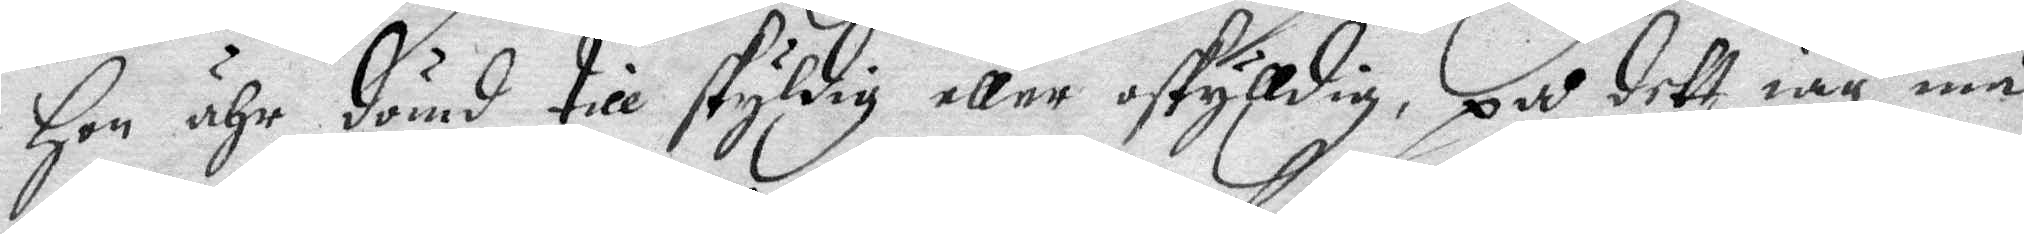hon är dömd till skyldig eller oskyldig, på dett iag må
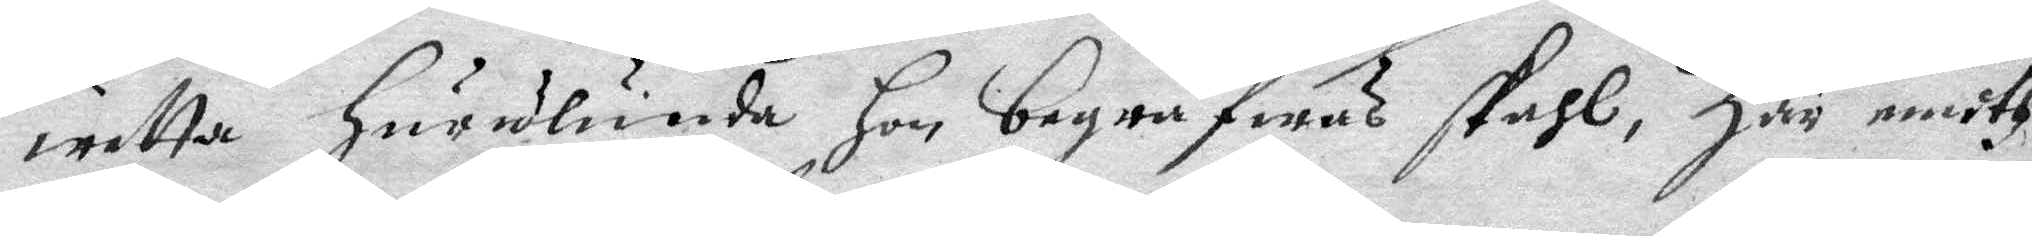wetta hurulunda hon begrafwas skahl, Här emoth
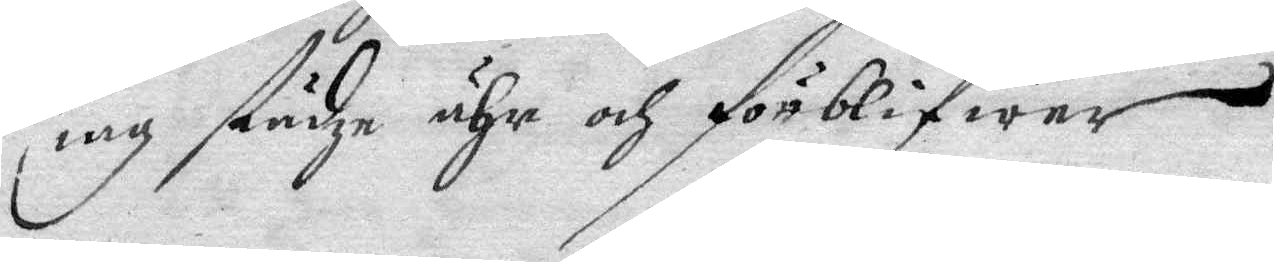iah städze ähr och förblifwer
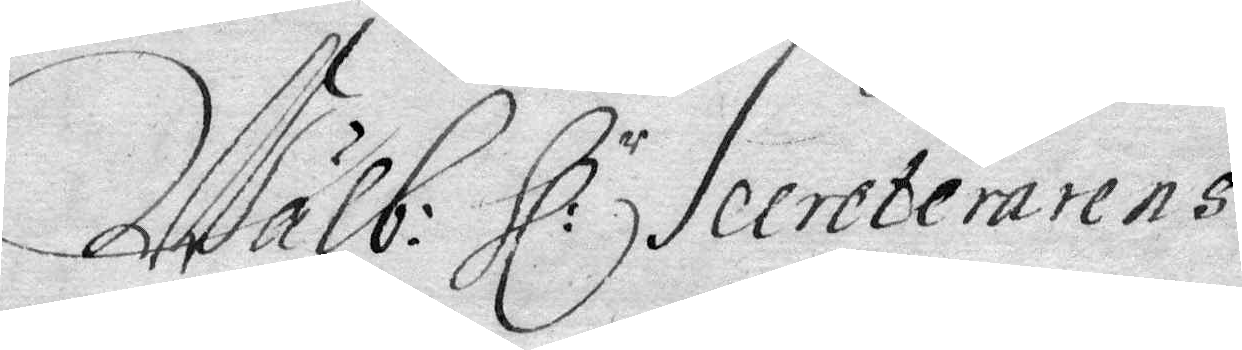Wälb: Hl: Secreterarens
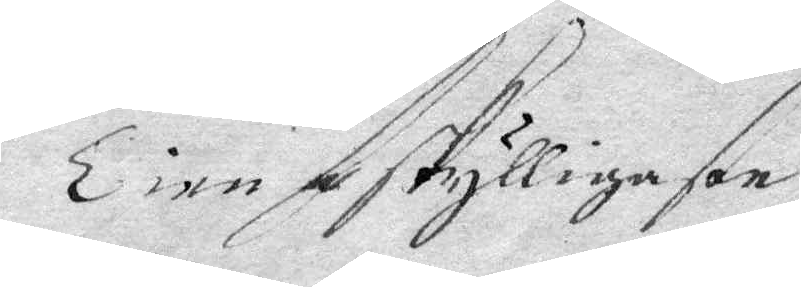Tienseskylligason
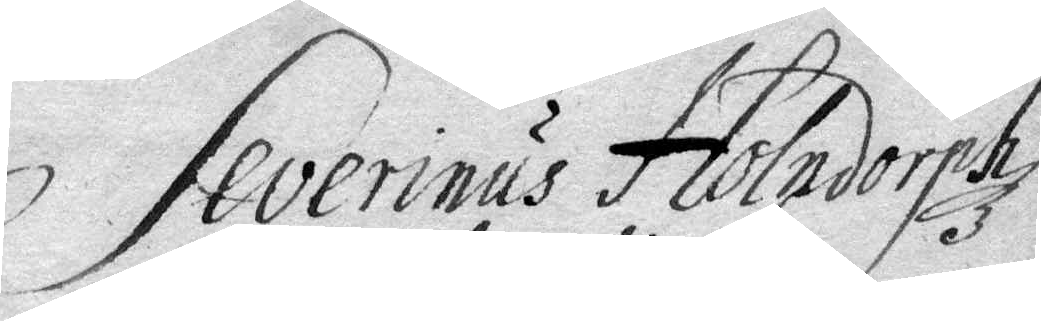Severinus Holndorphz
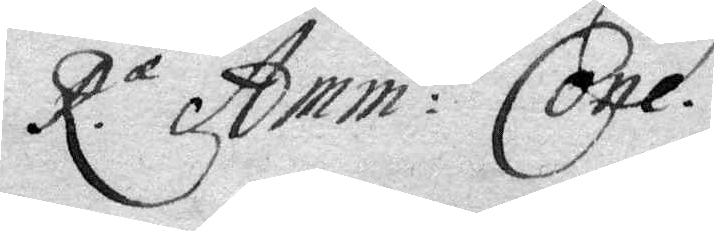R. æ Amm: tis Cone.
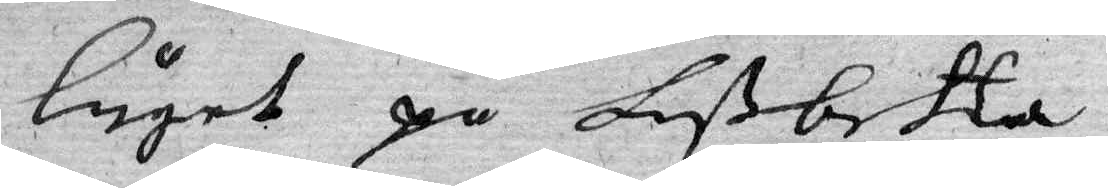läget på Lißbetta.
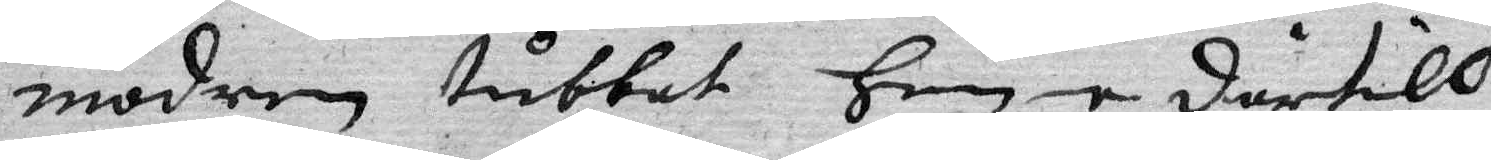modern tubbat henne dertill
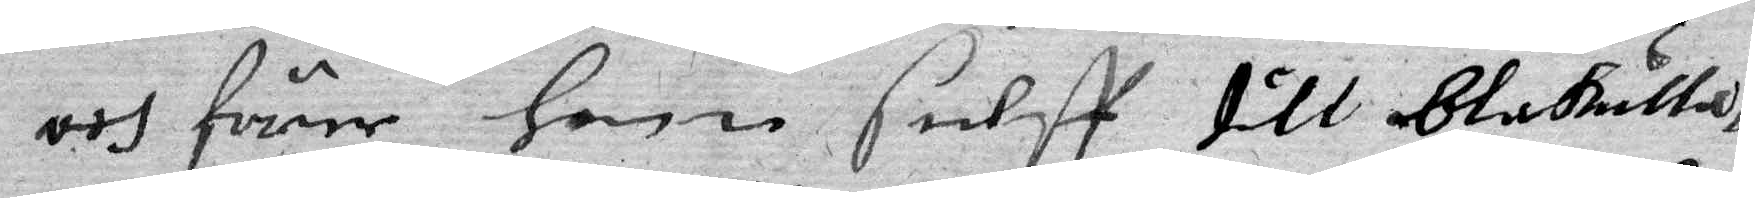och förer henne sielff till Blåkulla,
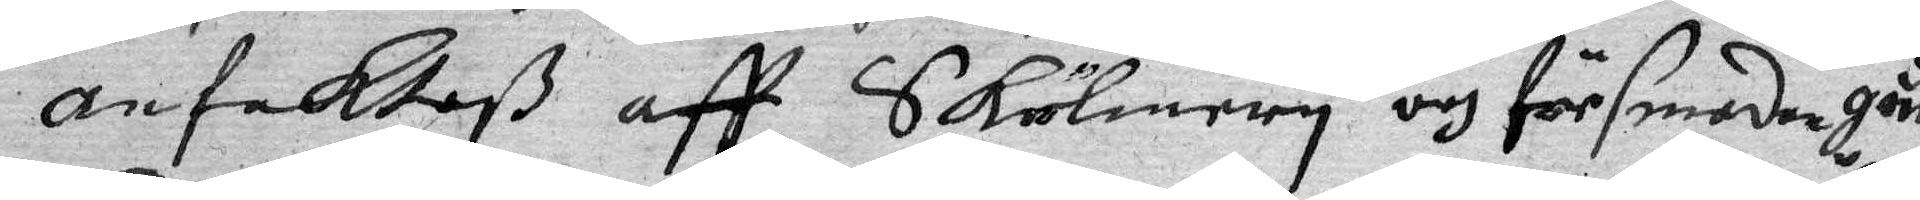anfektaß aff Skölneriy och försmodan görd.
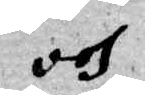och 
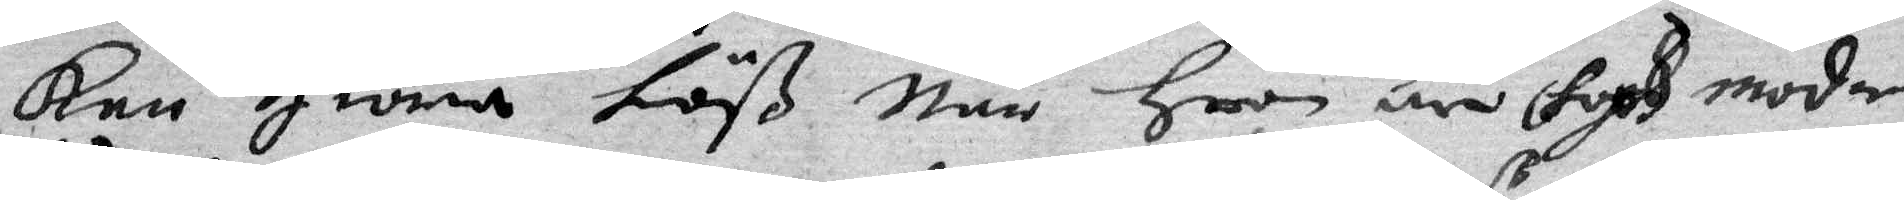Kan giöra töß när hoon är hoos moder,
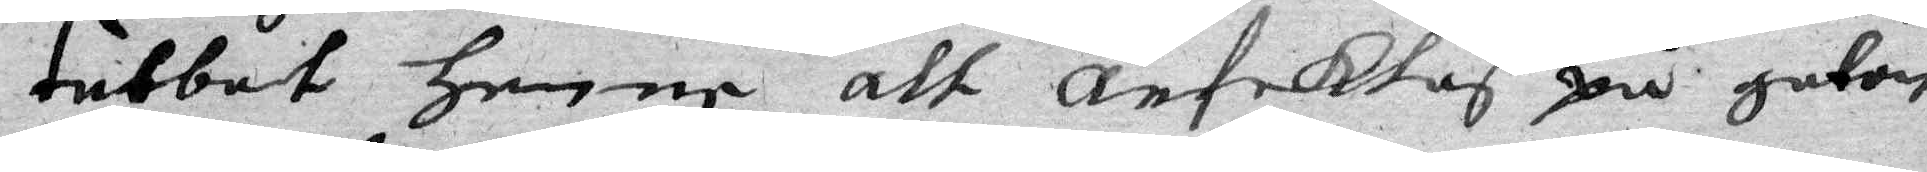tubbat henne att anfektaß på gatan
